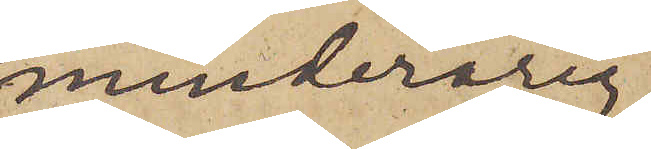minderårig,
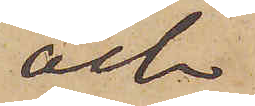och
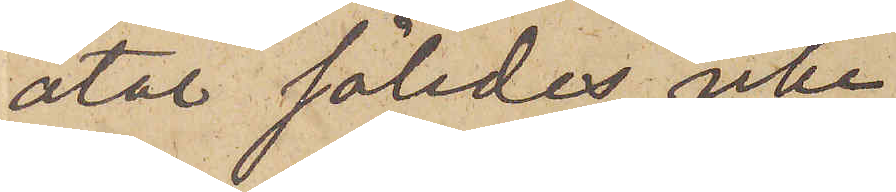åtal således icke
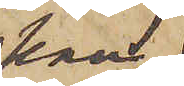kan
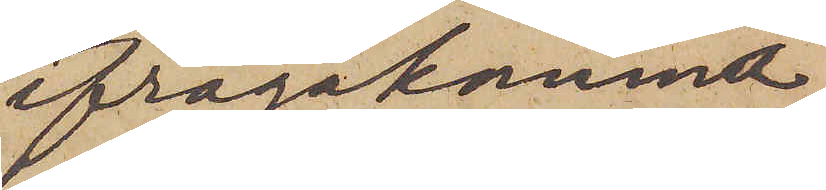ifrågakomna,
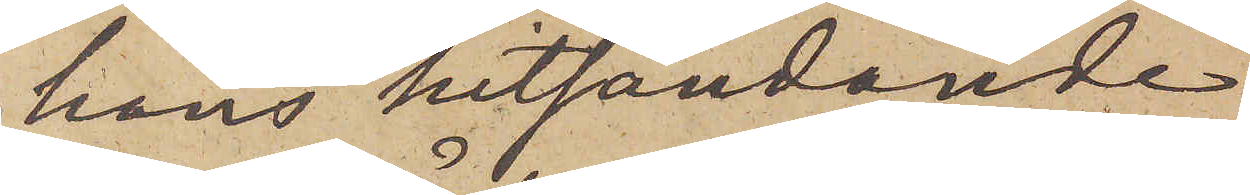hans hitsändande
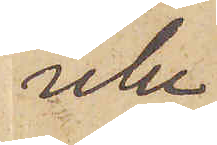icke
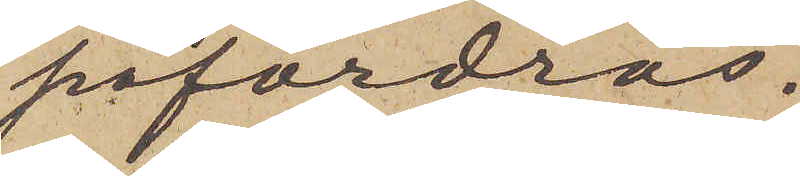påfordras.
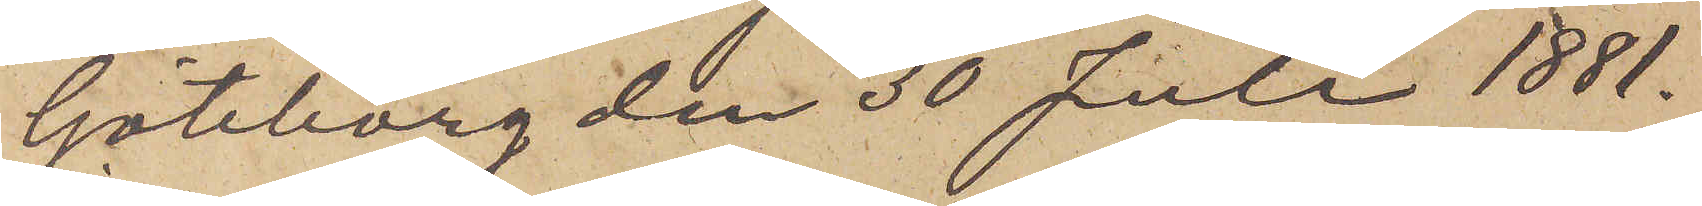Göteborg den 30 Juli 1881.
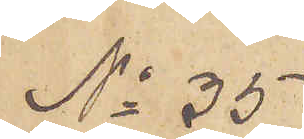No 35
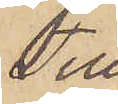Till
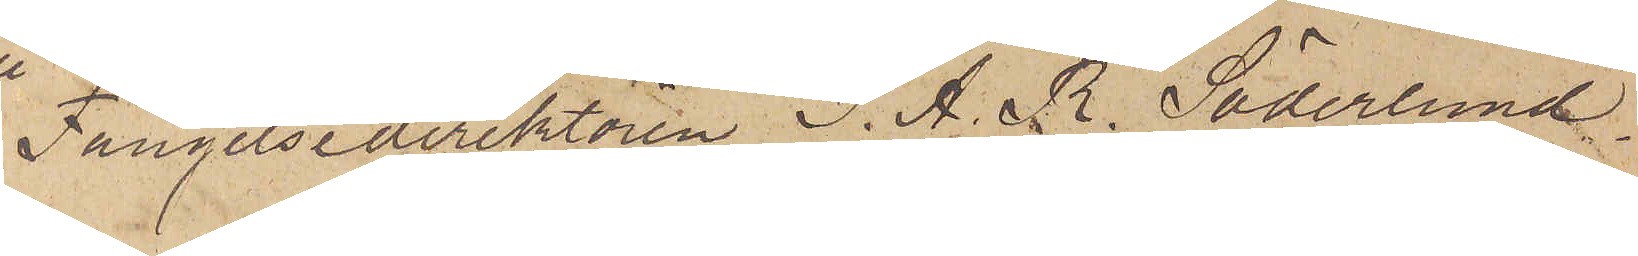Fängelsedirektören I. A. R. Söderlund
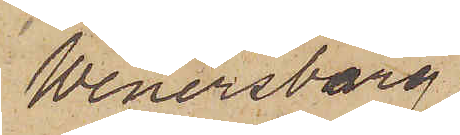Wenersborg.
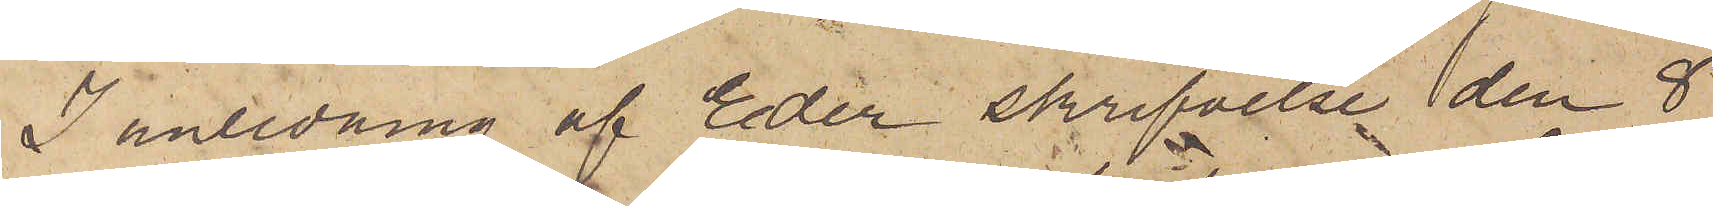I anledning af Eder skrifvelse den 8
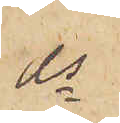ds
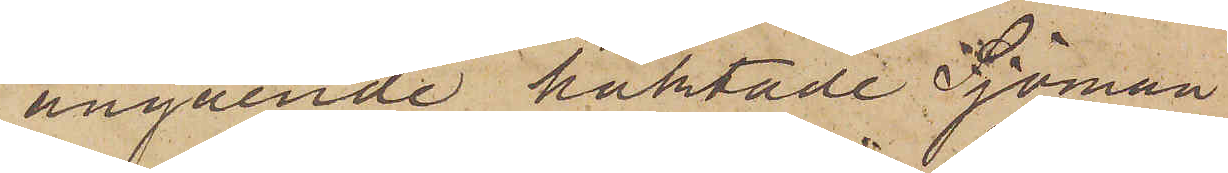angående häktade Sjöman¬
